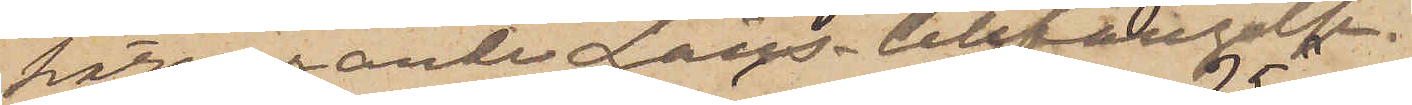härvarande Läns-Cellfängelse.
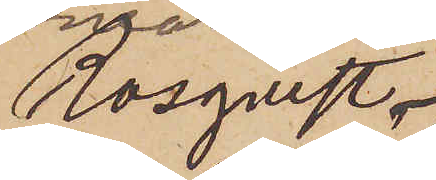Rosqvist
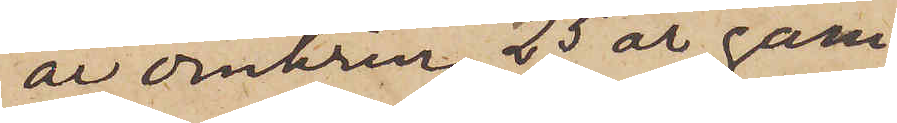är omkring 25 år gam¬
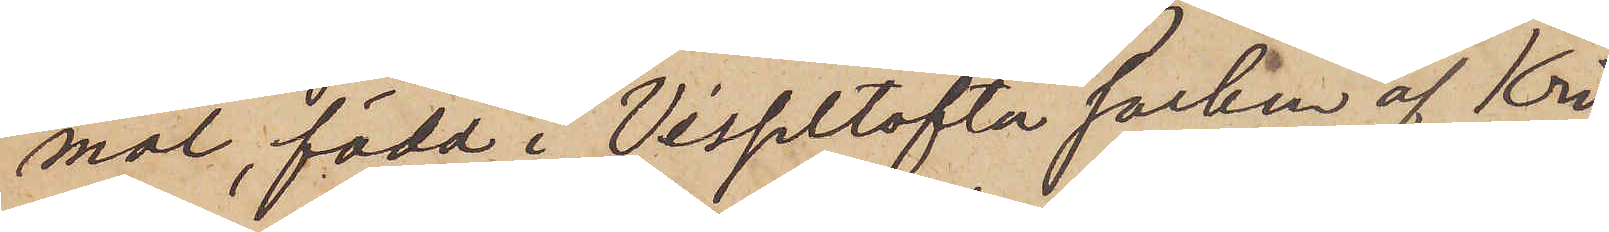mal, född i Visseltofta socken af Kri¬
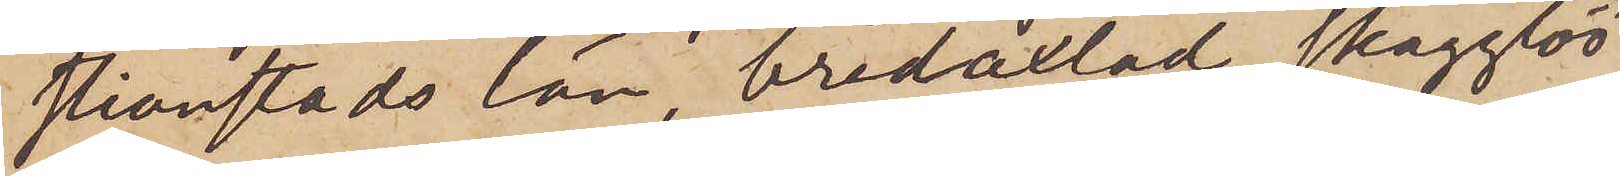stianstads län, bredaxlad, skägglös
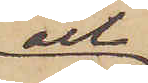och
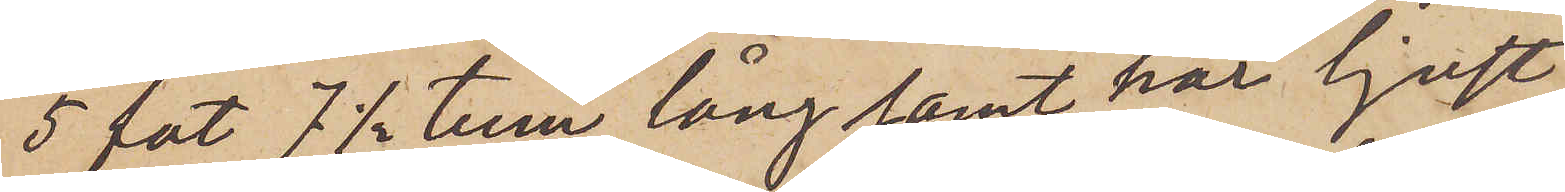5 fot 7 1/2 tum lång samt har ljust
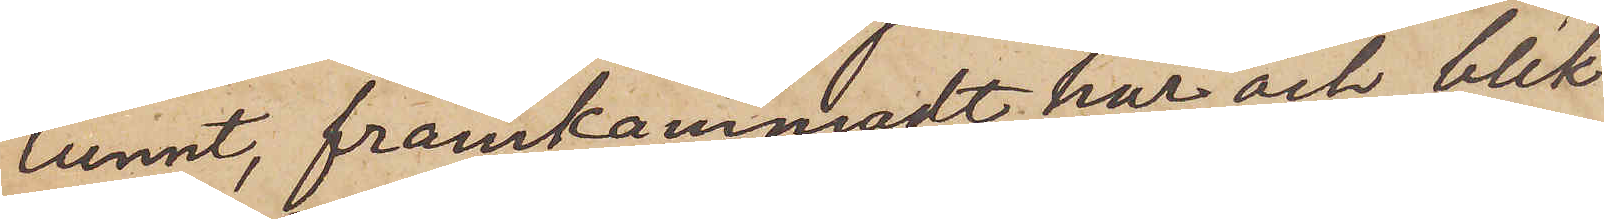tunnt, framkammadt hår och blek
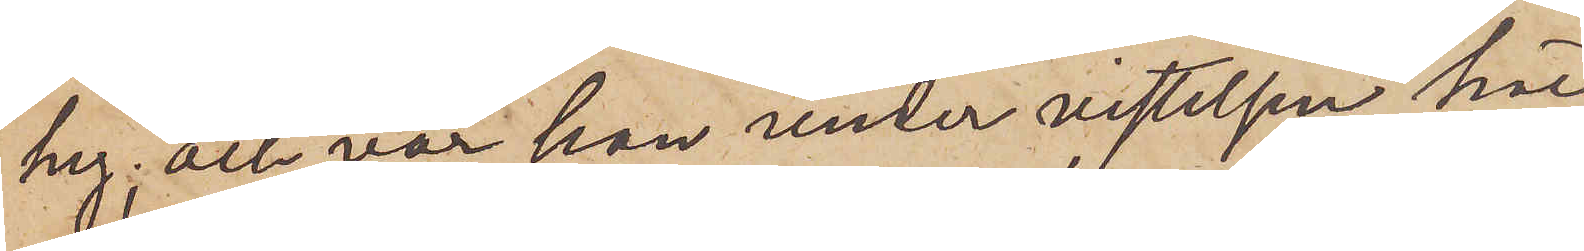hy; och var han under vistelsen här
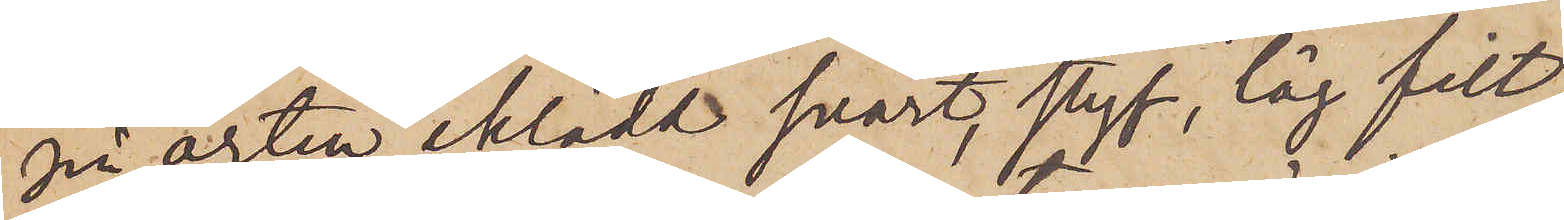på orten iklädd svart, styf, låg filt¬
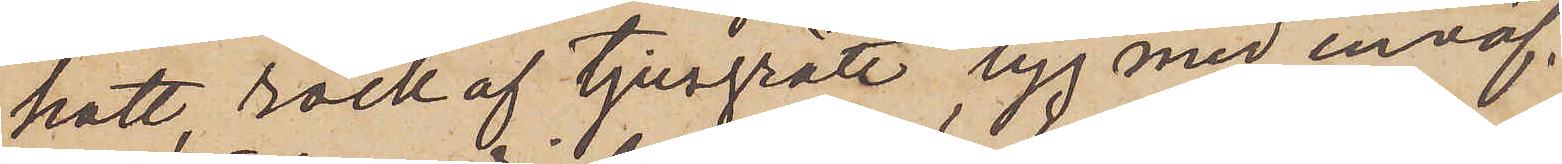hatt, rock af ljusgrått tyg med inväf¬
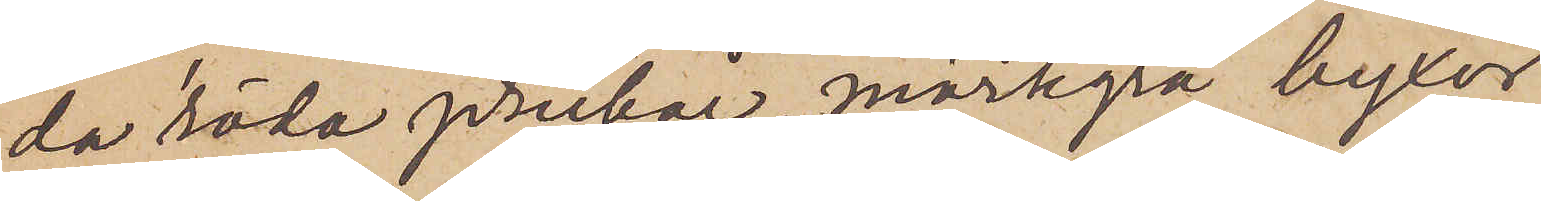da röda prickar, mörkgrå byxor
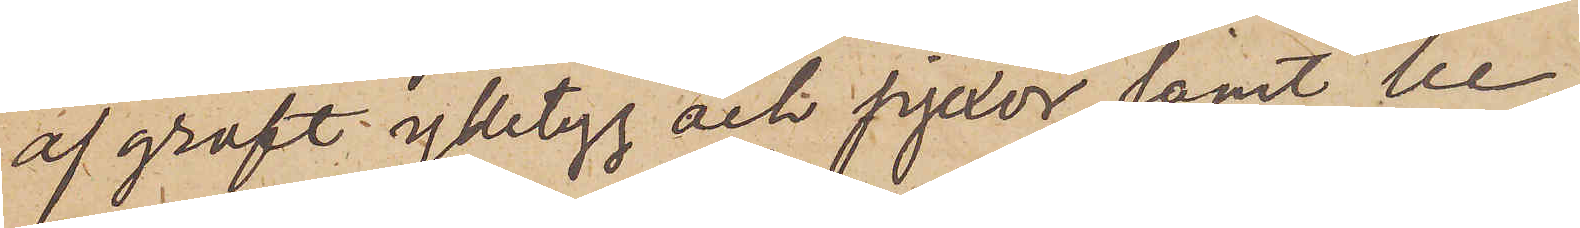af groft ylletyg och pjexor samt be¬
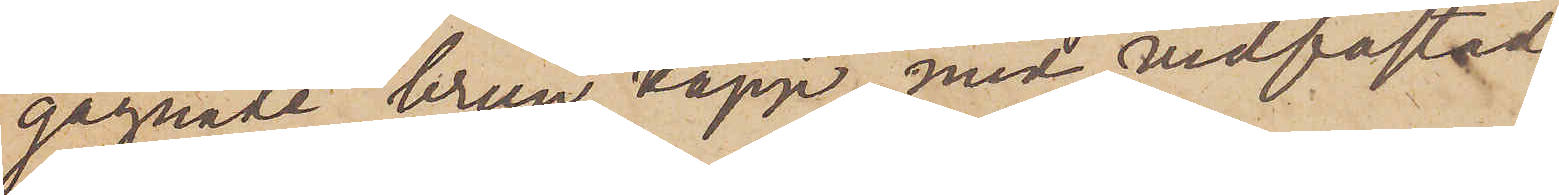gagnade brun käpp med vidfästad
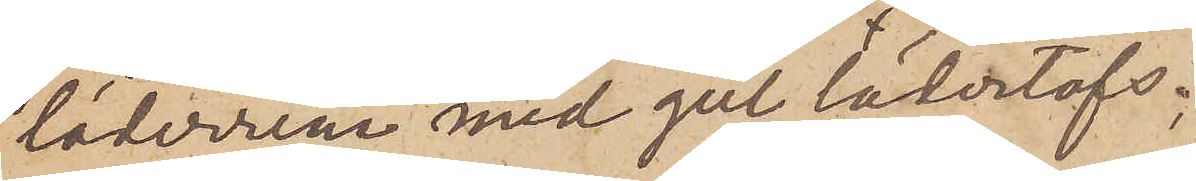läderrem med gul läderlofs.
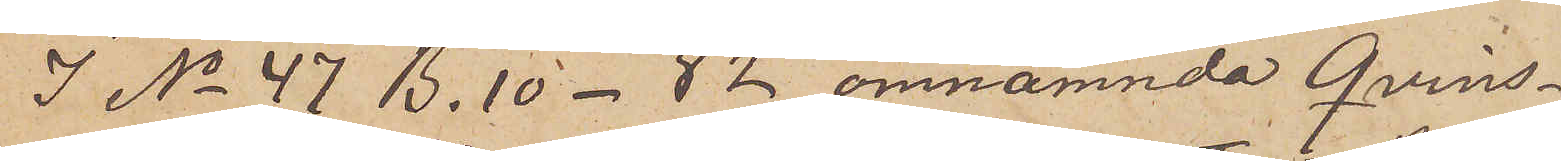I No 47 B. 10 - 82 omnämnda Qvins¬
